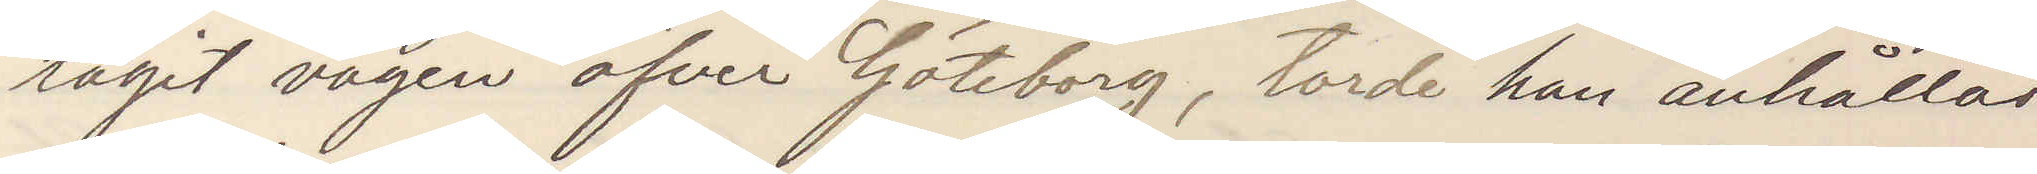tagit vägen öfver Göteborg, torde han anhållas
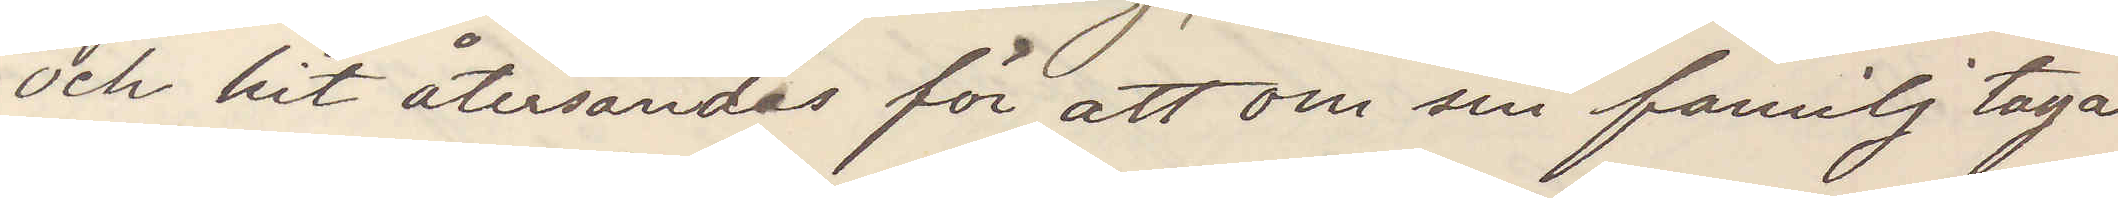och hit återsändas för att som sin familj taga
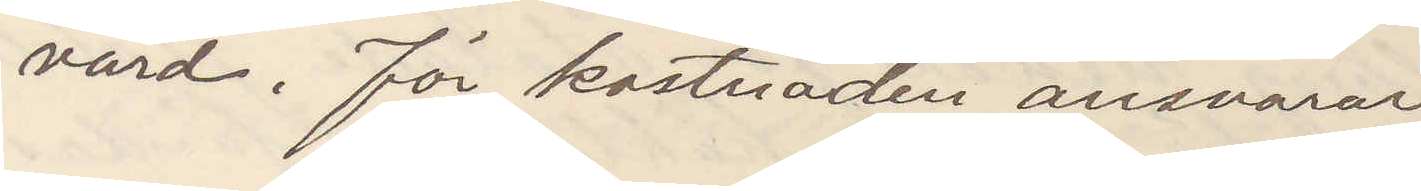vård. För kostnaden ansvarar
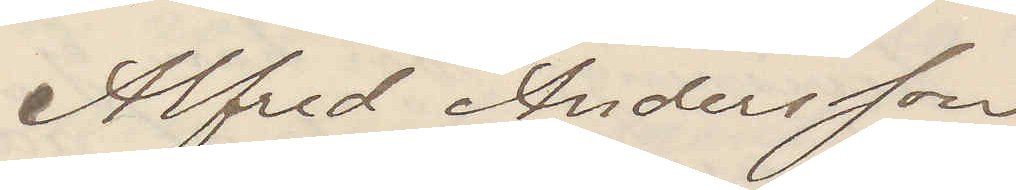Alfred Andersson
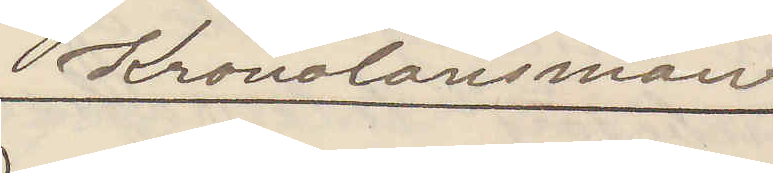Kronolänsman
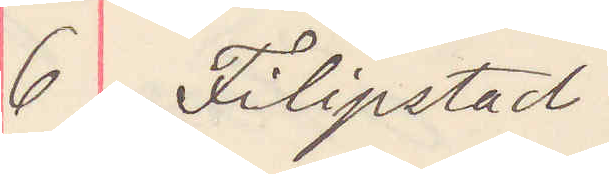6 Filipstad
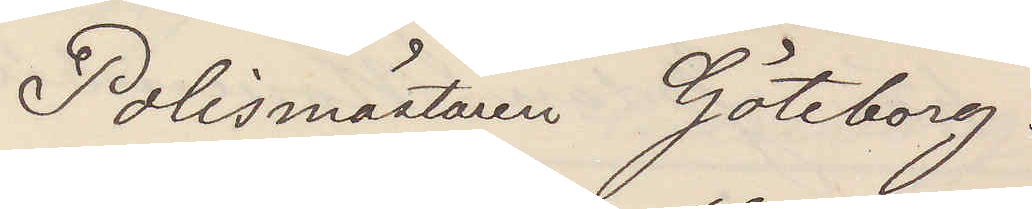Polismästaren Göteborg.
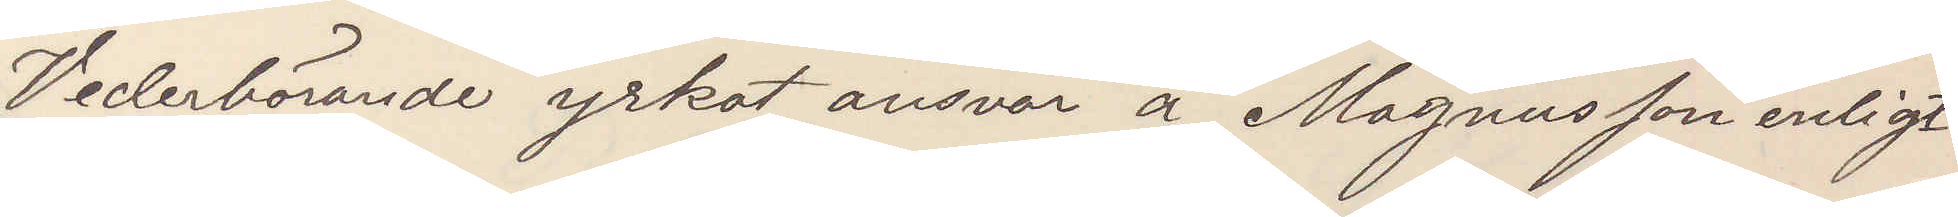Vederbörande yrkat ansvar å Magnusson enligt
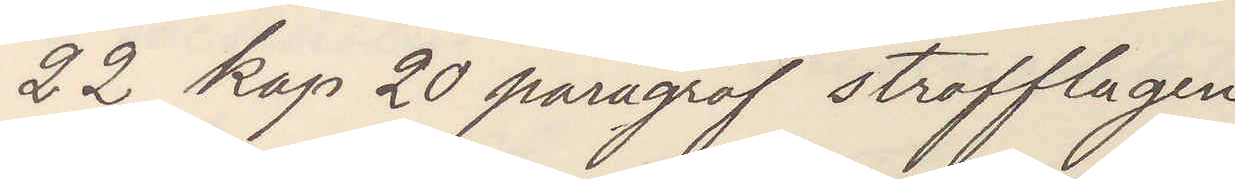22 kap 20 paragraf strafflagen
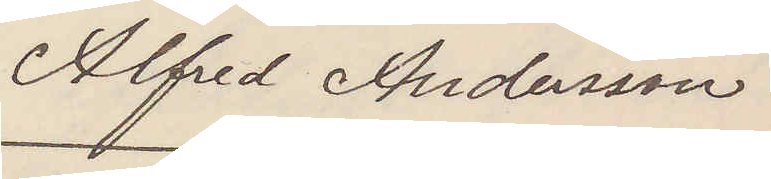Alfred Andersson
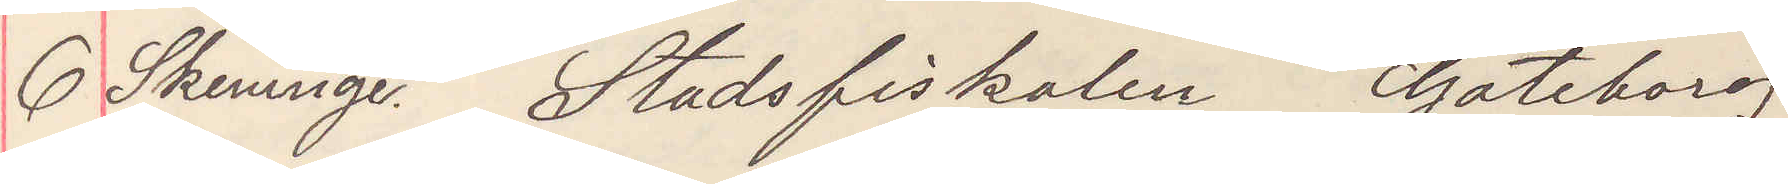6 Skeninge. Stadsfiskalen Göteborg
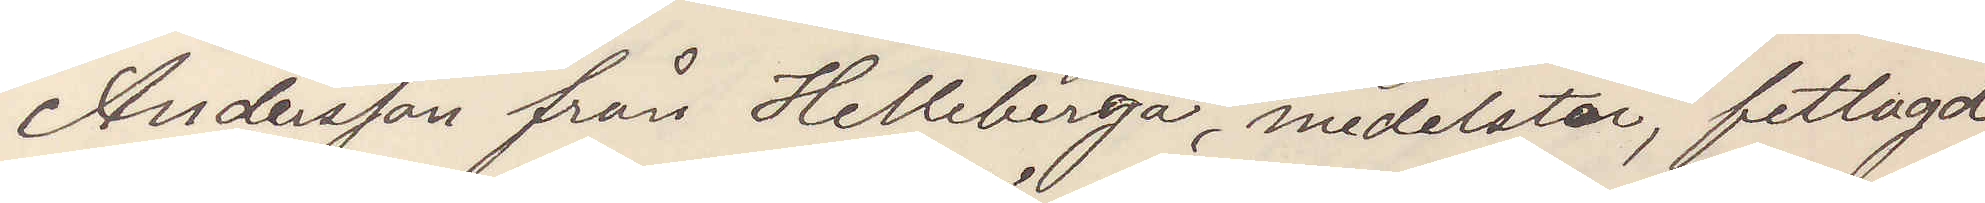Andersson från Helleberga, medelstor, fetlagd
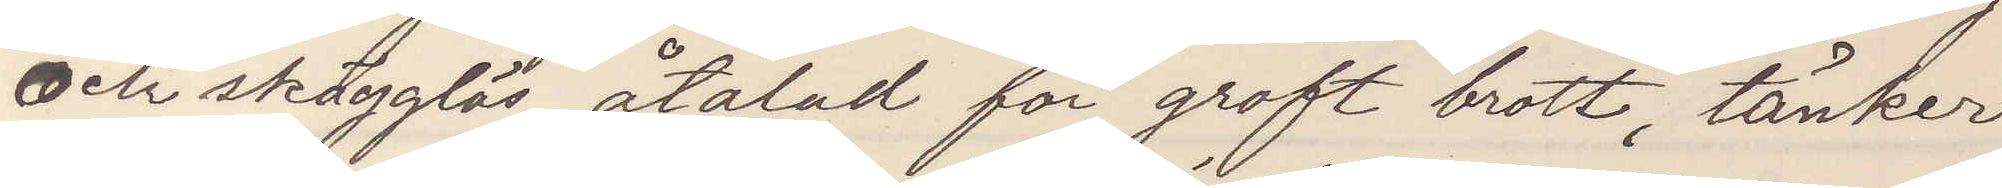och skägglös, åtalad för groft brott, tänker
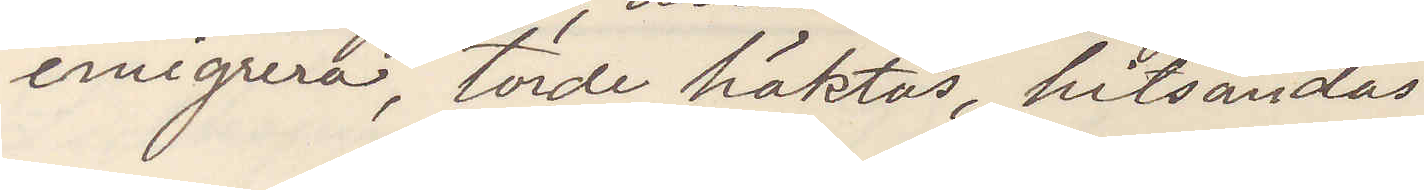emigrera, torde häktas, hitsändas.
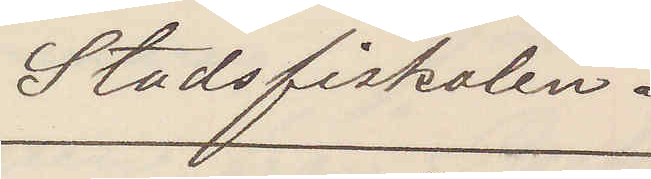Stadsfiskalen.
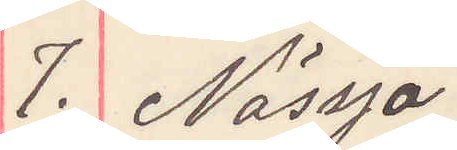7. Nässjö
